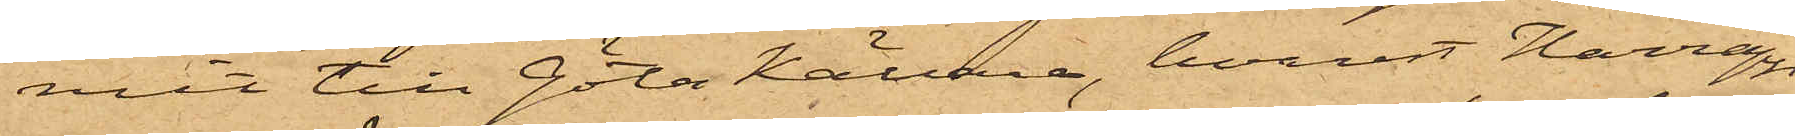mit till Göta Källare, hvarest Harrapp
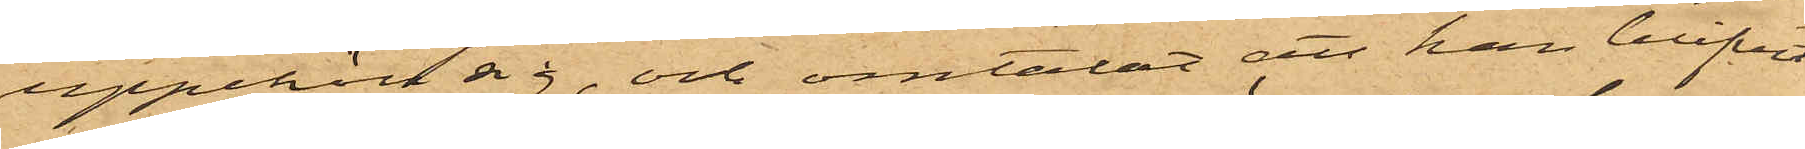uppehöll sig, och omtalat att han blifvit
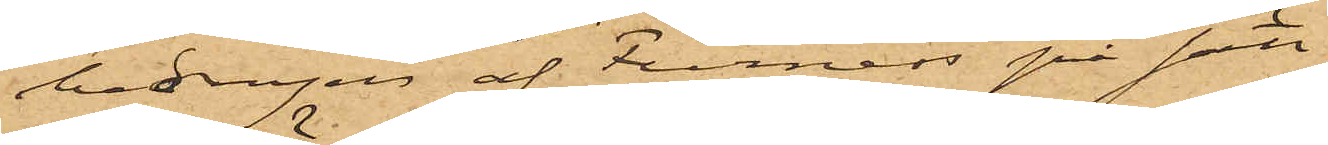bedragen af Furness på sätt
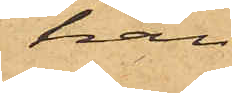han
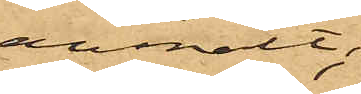anmält:
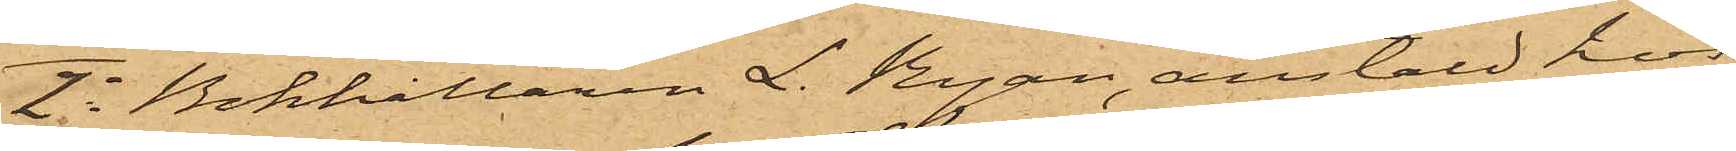2o Bokhållaren L. Ryan, anstäld hos
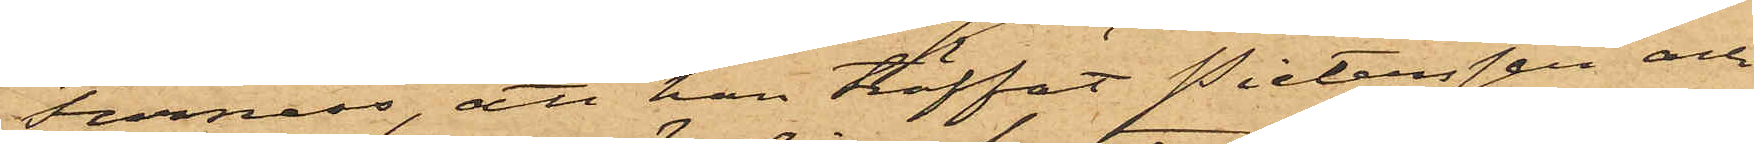Furness, att han träffat Pietersen och
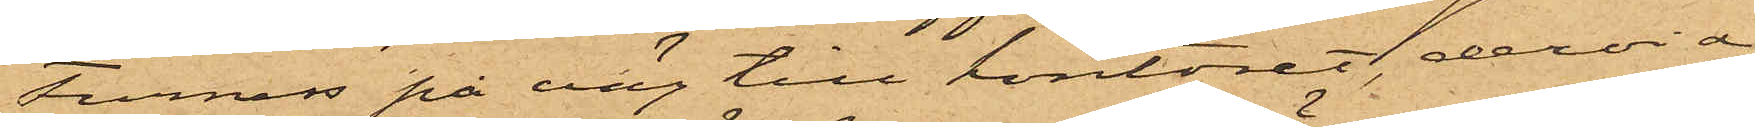Furness på väg till kontoret, dervid
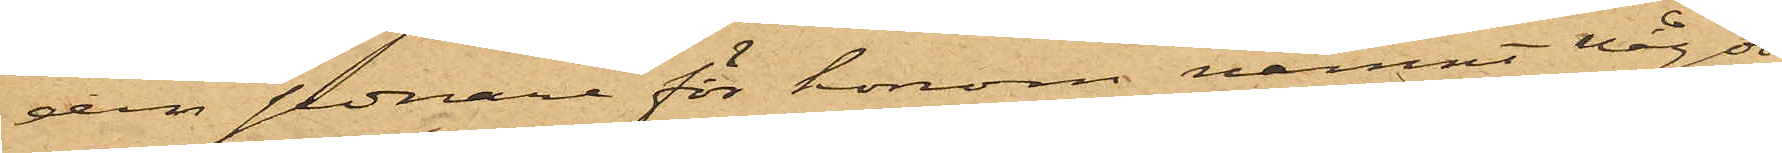den sednare för honom nämnt något
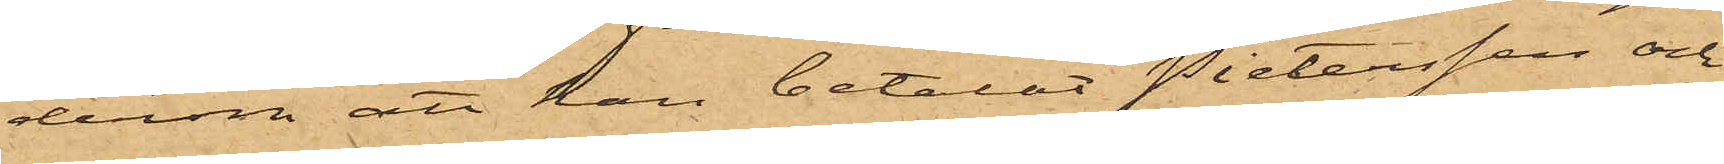derom att han betalat Pietersen och
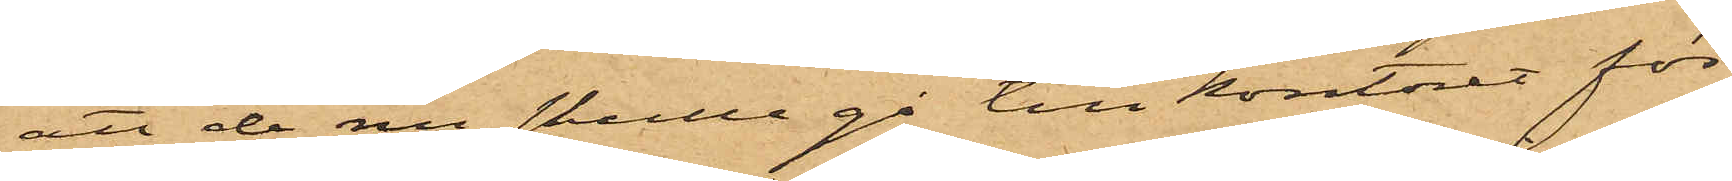att de nu skulle gå till kontoret för
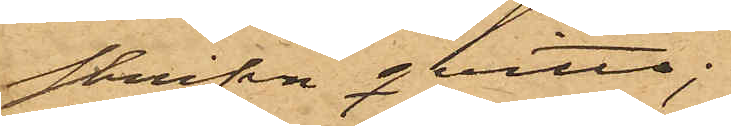skriva qvitto;
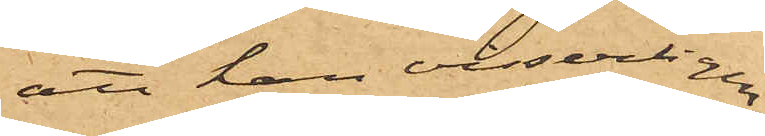att han visserligen
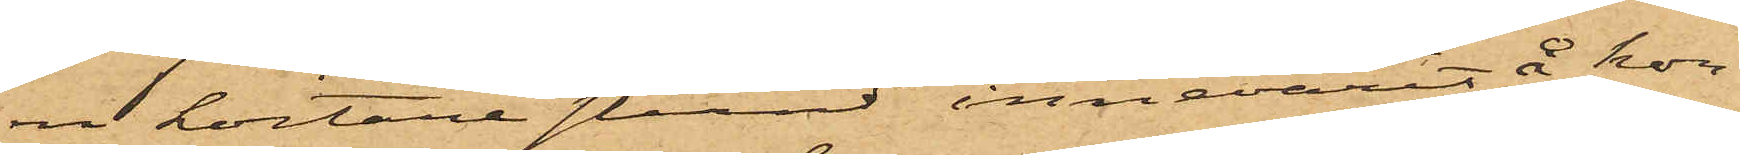en kortare stund innevarit å kon¬
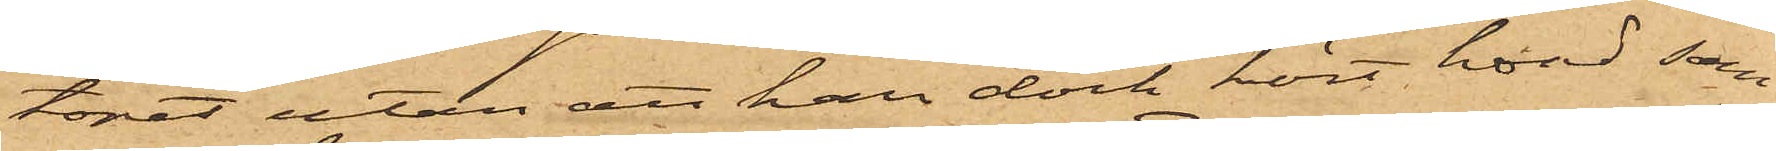toret utan att han dock hört hvad som
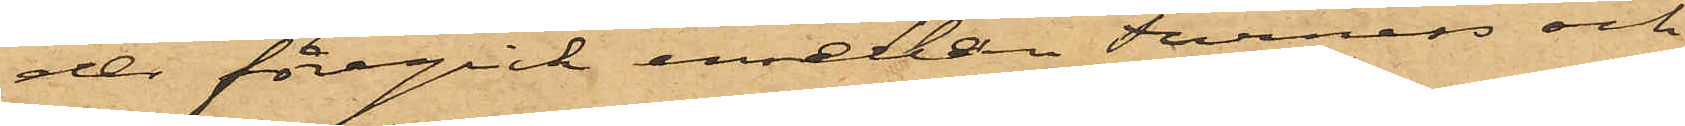der föregick mellan Furness och
